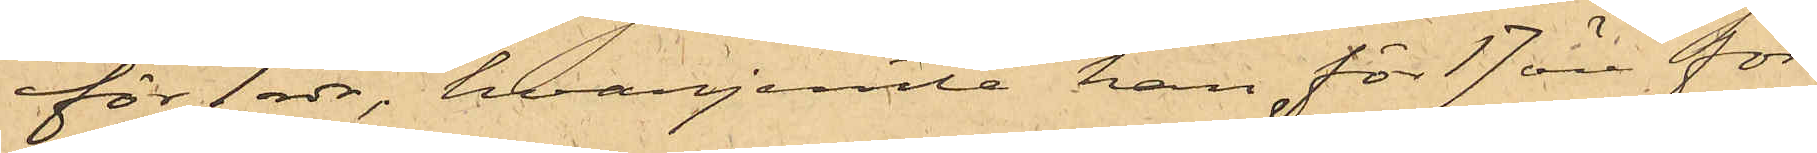för 1 rdr, hvarjemte han för 17 öre för¬
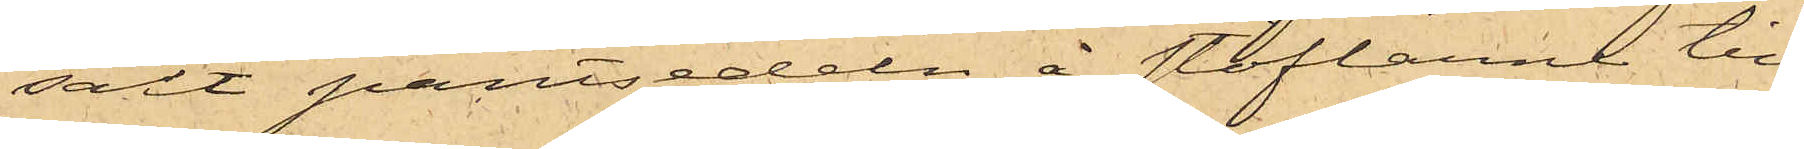sålt pantsedeln å stöflarne till
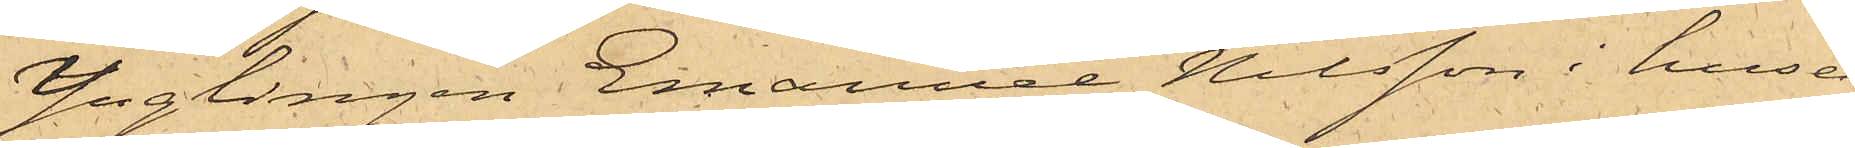Ynglingen Emanuel Nilsson i huset
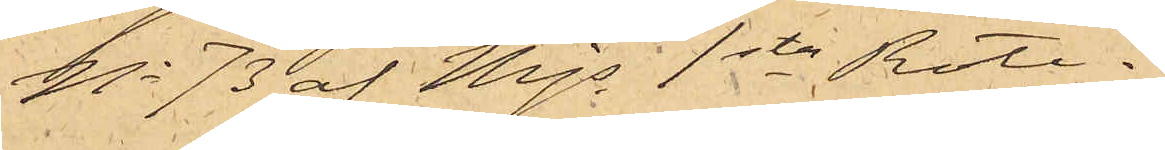No 73 af Mjs 1sta Rote.
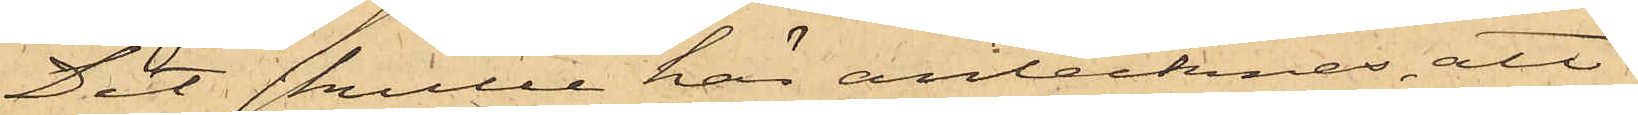Det skulle här antecknas, att
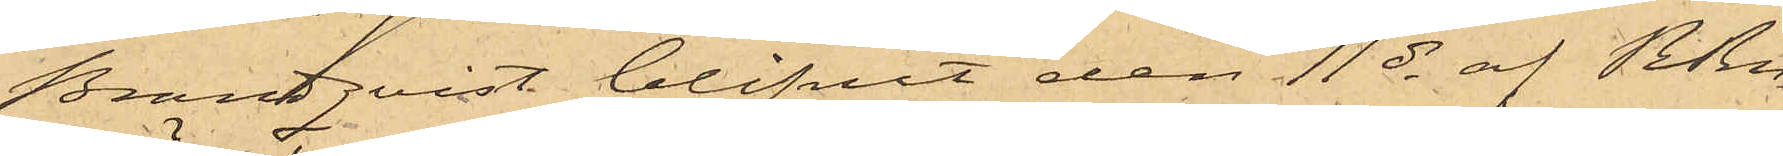Brandqvist blifvit den 11 ds af RRn
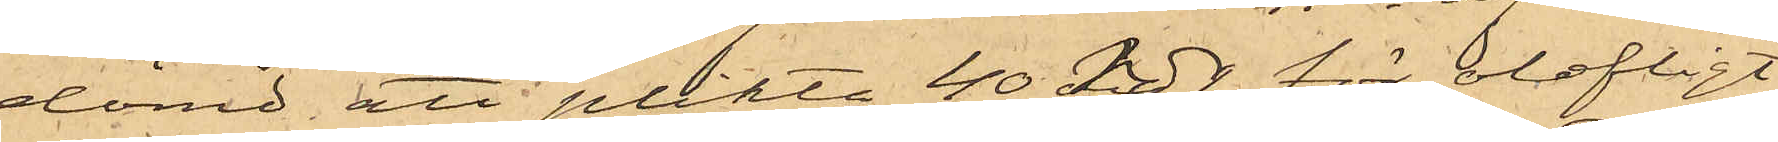dömd att plikta 40 rdr för olofligt
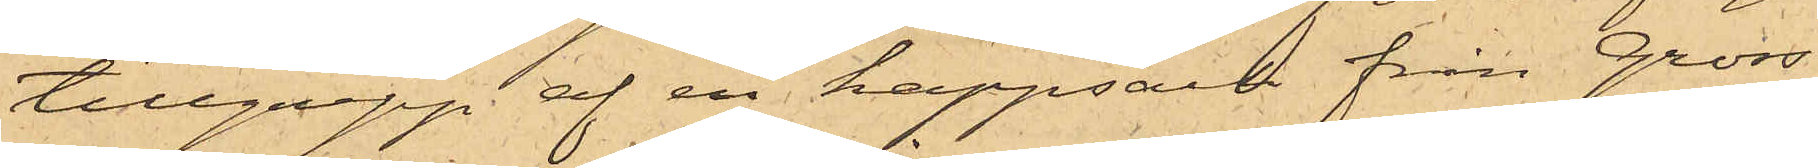tillgrepp af en kappsäck från Gross¬
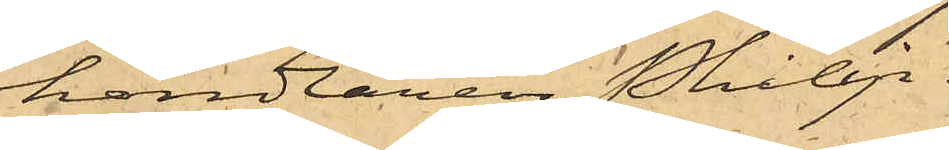handlaren Philip.
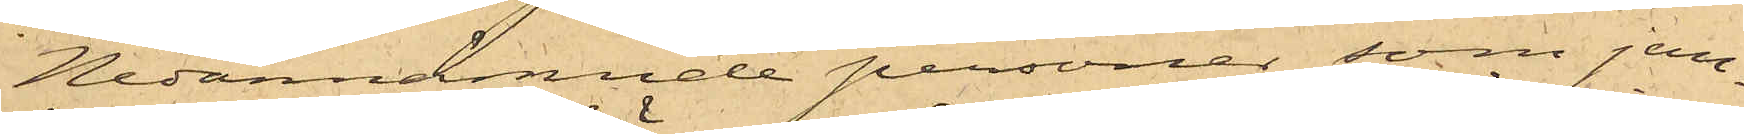Nedannämnde personer, som jem¬
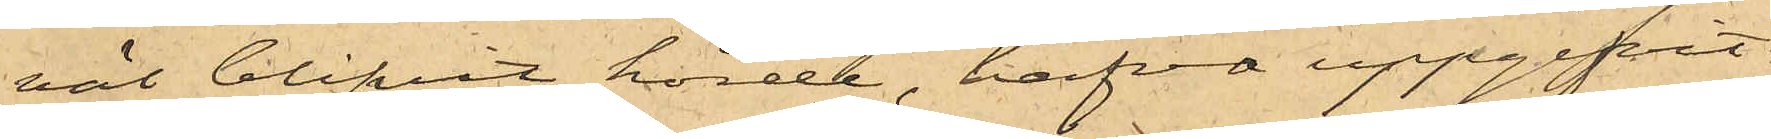väl blifvit hörde, hafva uppgifvit:
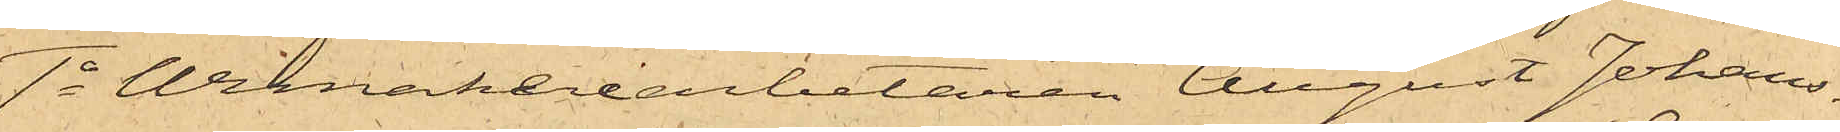1o Urmakeriarbetaren August Johans¬
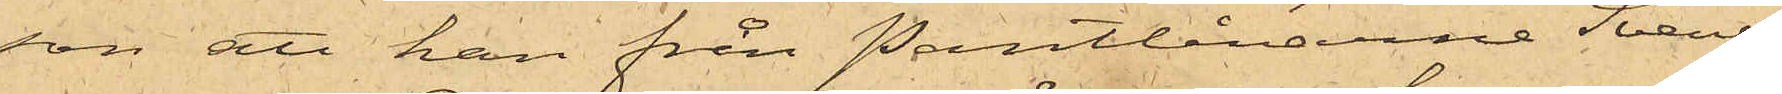son att han från Pantlånarne Svens¬
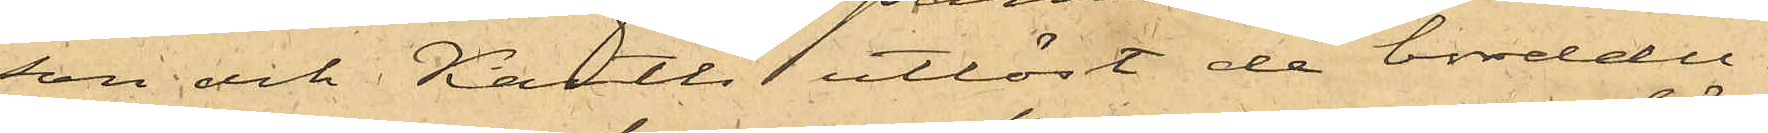son och Karth utlöst de borddu¬
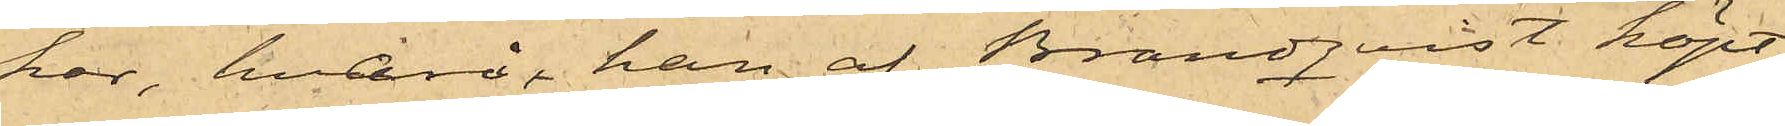kar, hvarå han af Brandqvist köpt
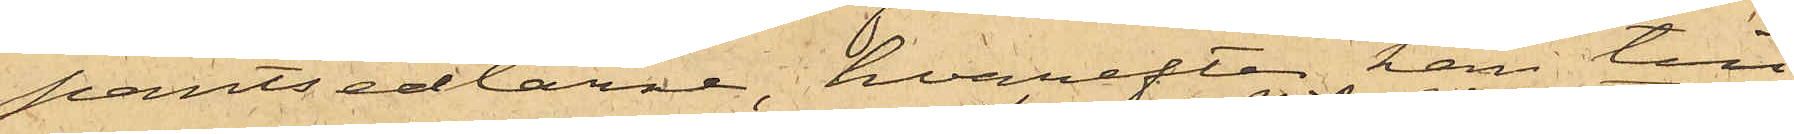pantsedlarne, hvarefter han till
